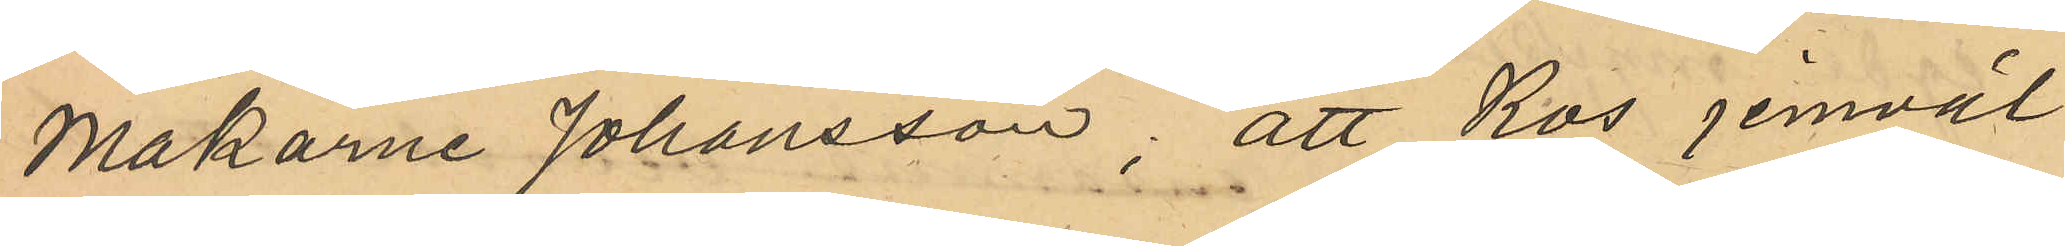makarne Johansson; att Ros jemväl
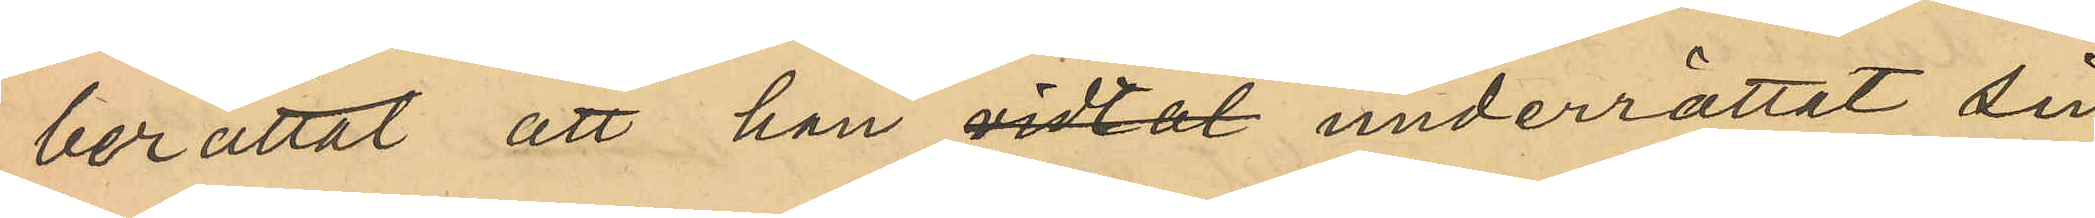berättat han han vidtal underättat sin
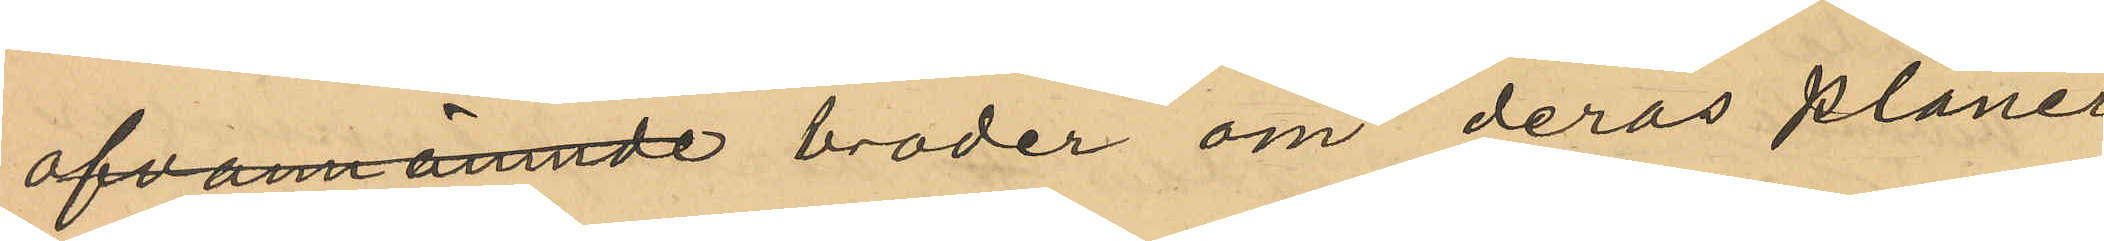ofvannämnde broder om deras planer
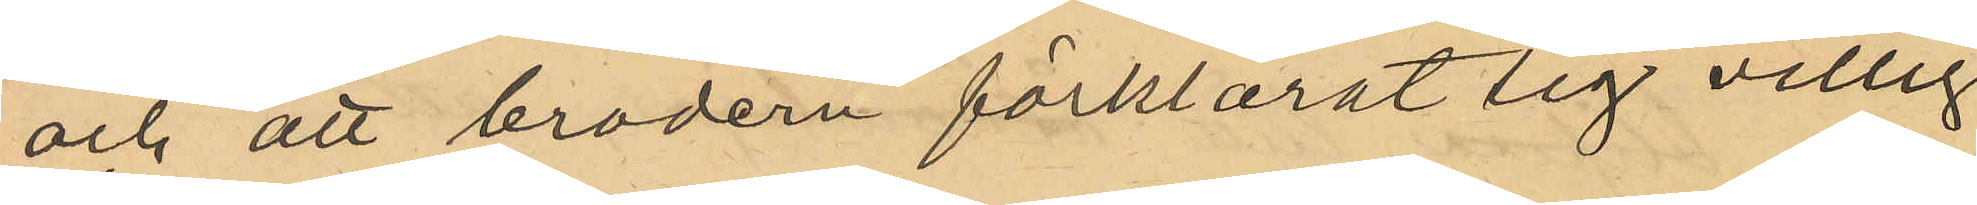och att brodern förklarat sig villig
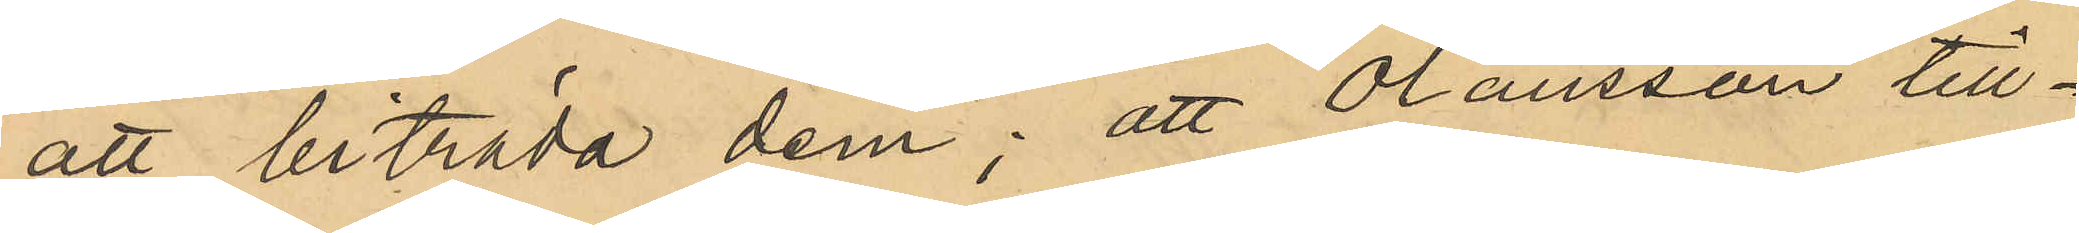att biträda dem; att Olausson till¬
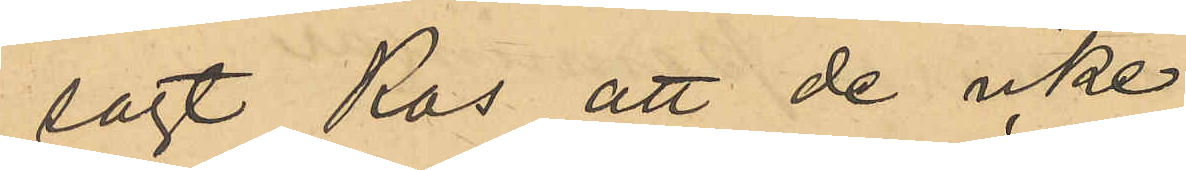sagt Ros att de icke
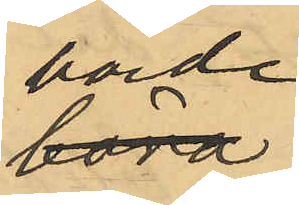borde
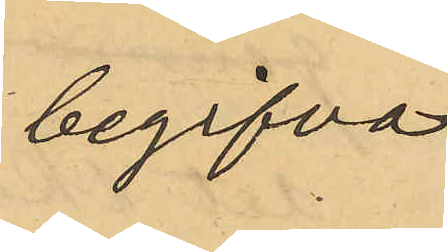begifva
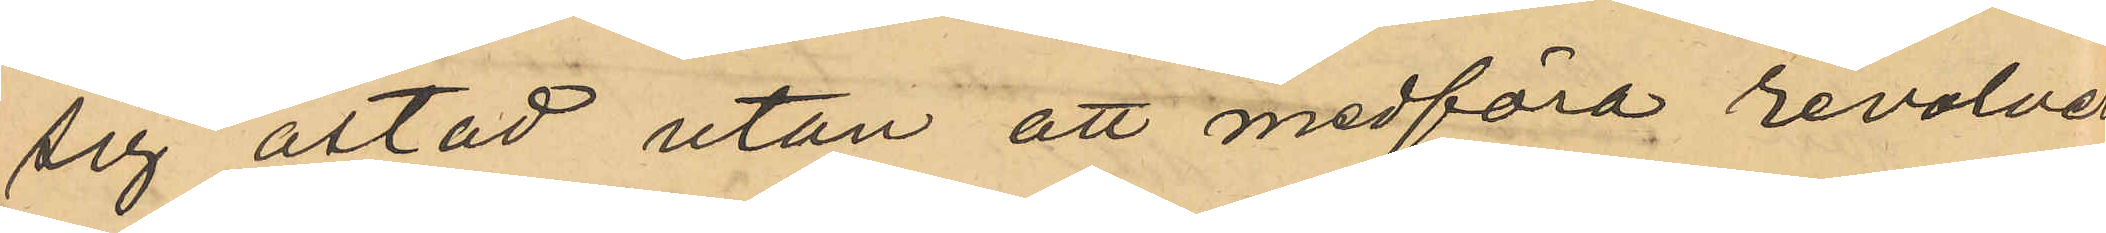sig åstad utan att medföra revolver
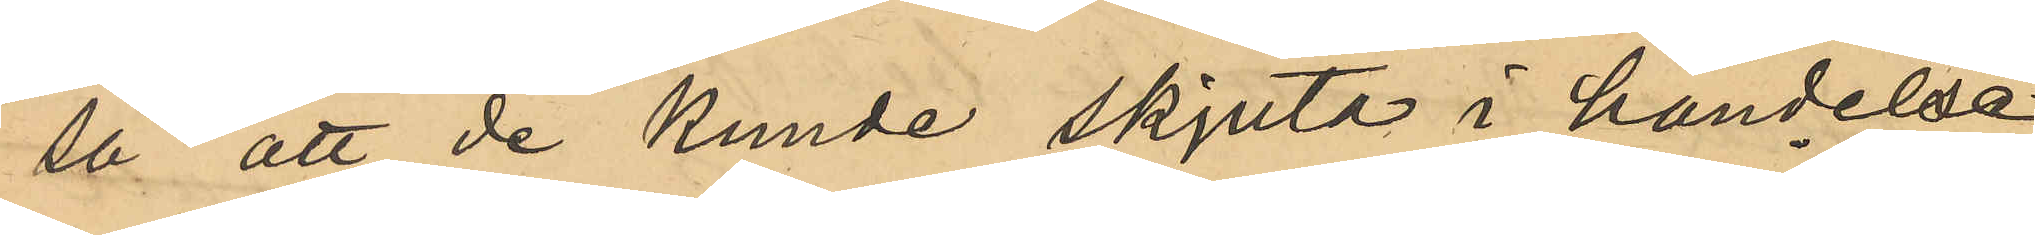så att de kunde skjuta i händelse
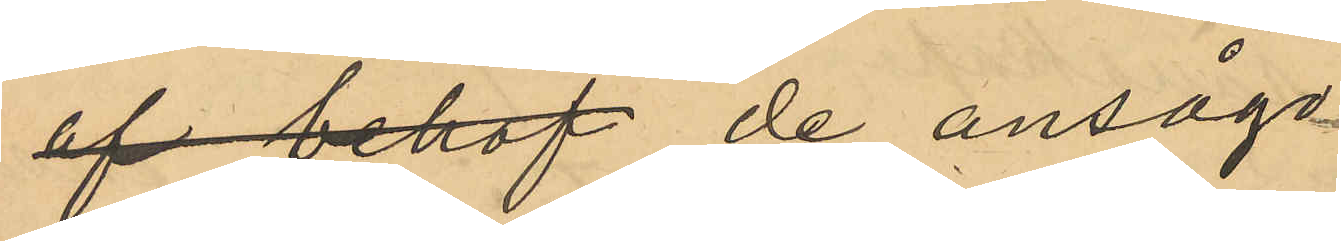af behof de ansågo
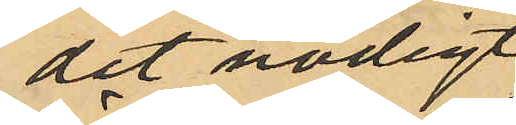det nödigt
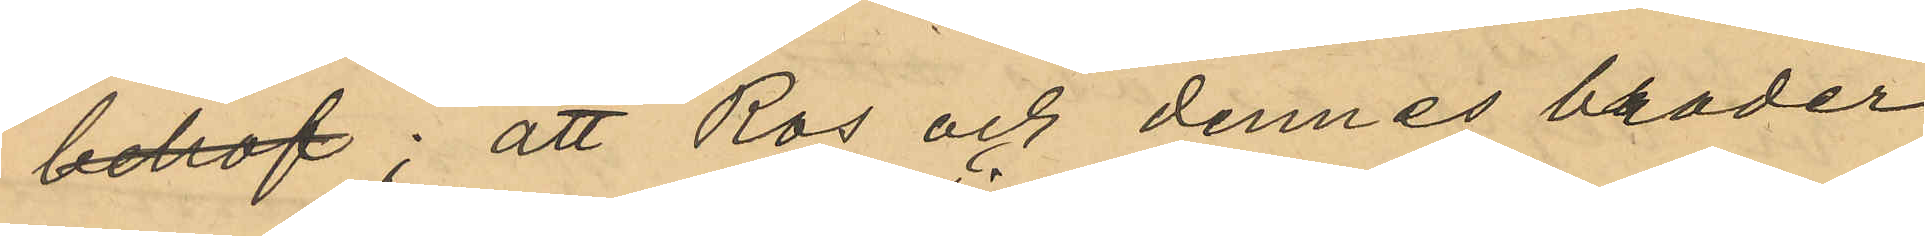behof; att Ros och dennes broder
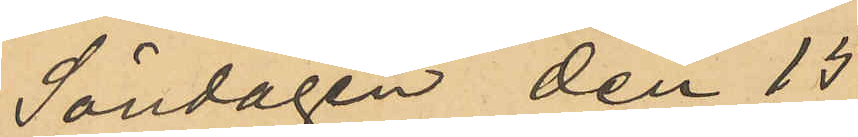Söndagen den 15 
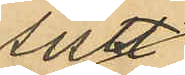sistl.
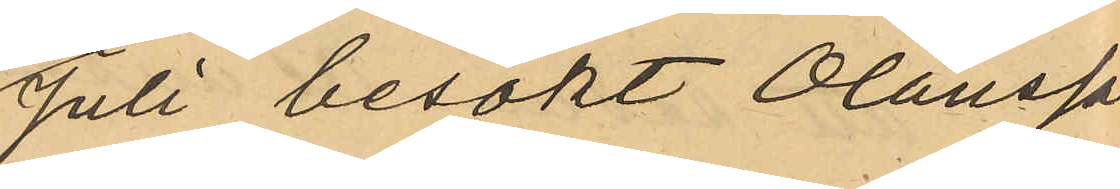Juli besökt Olausson
